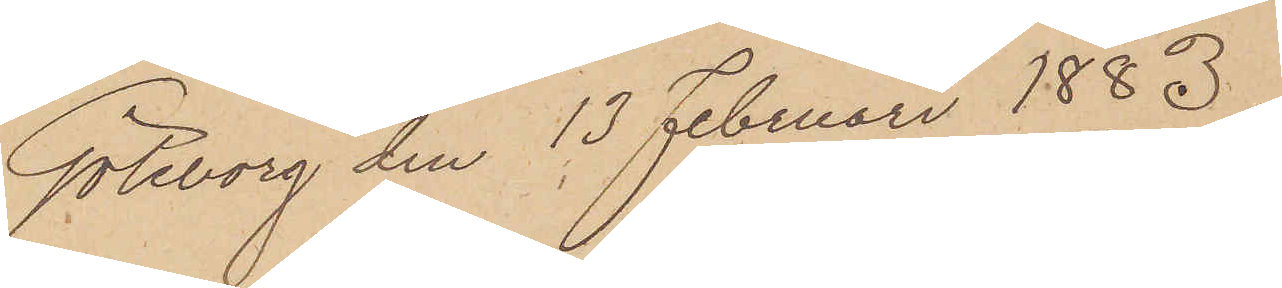Göteborg den 13 Februari 1883.
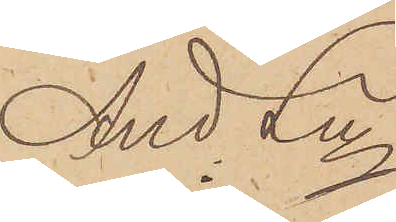And Ln
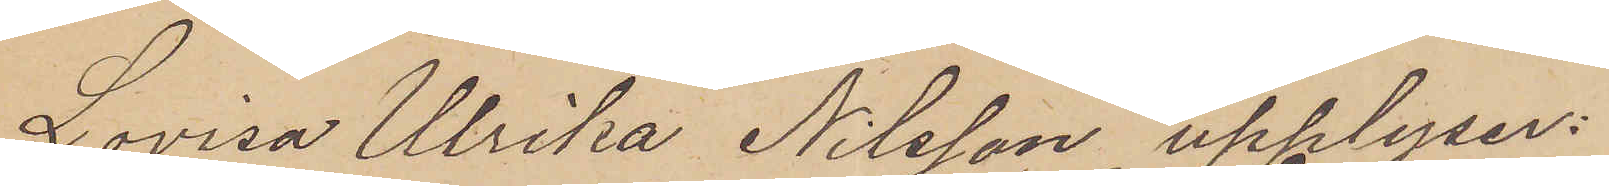Lovisa Ulrika Nilsson upplyser:
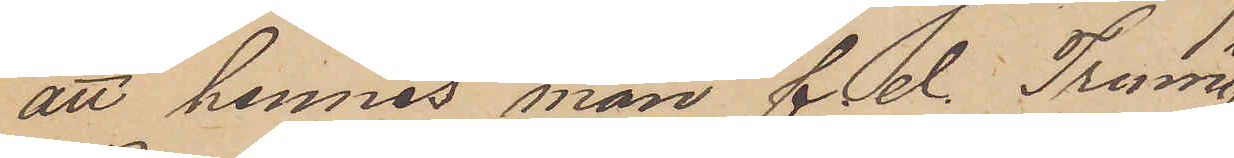att hennes man f. d. Trum¬
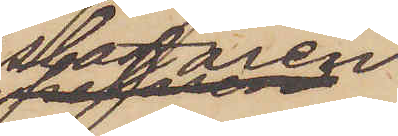slagaren
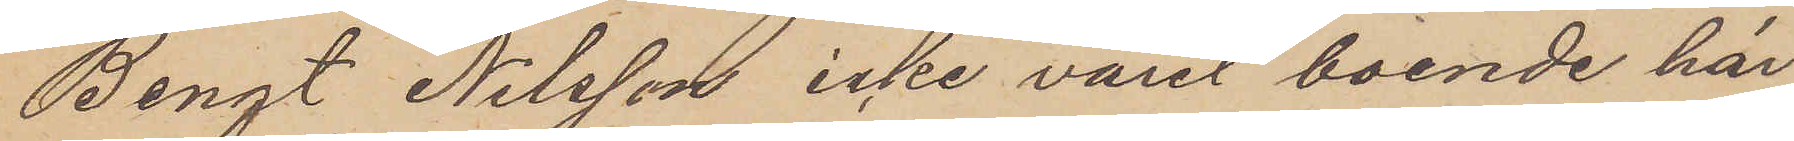Bengt Nilsson icke varit boende här
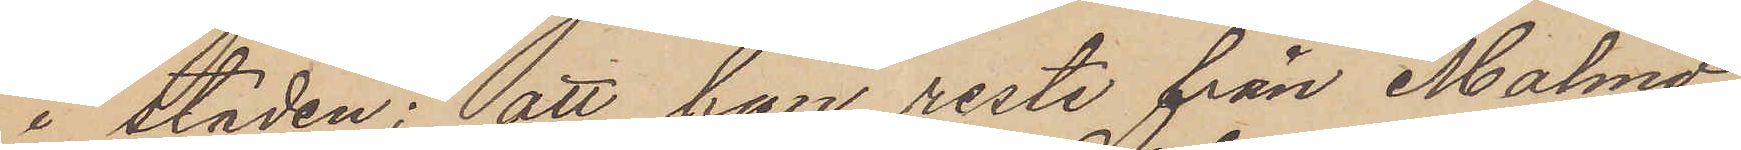i staden; att han reste från Malmö
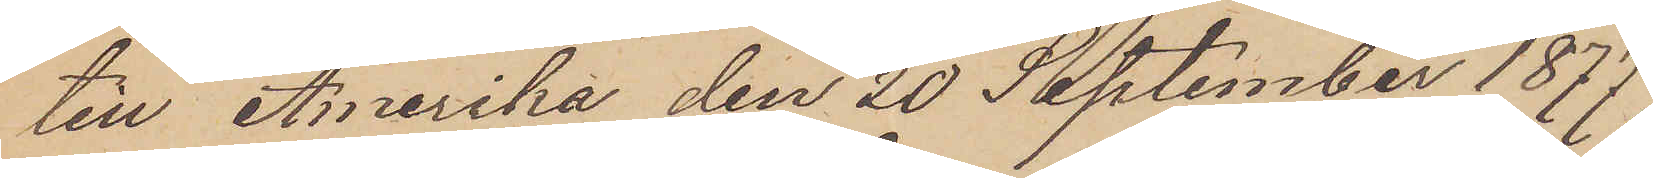till Amerika den 20 September 1877
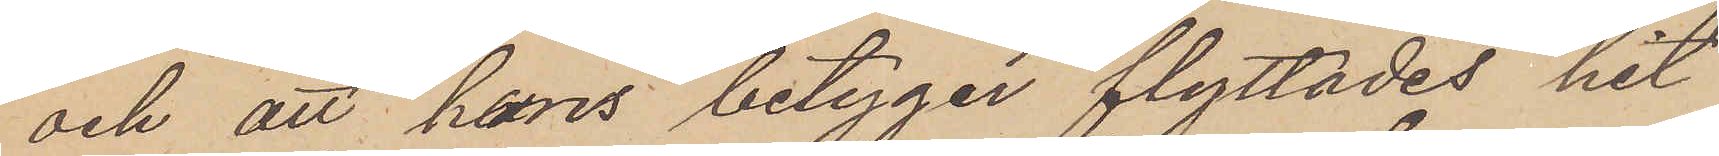och att hans betyger flyttades hit
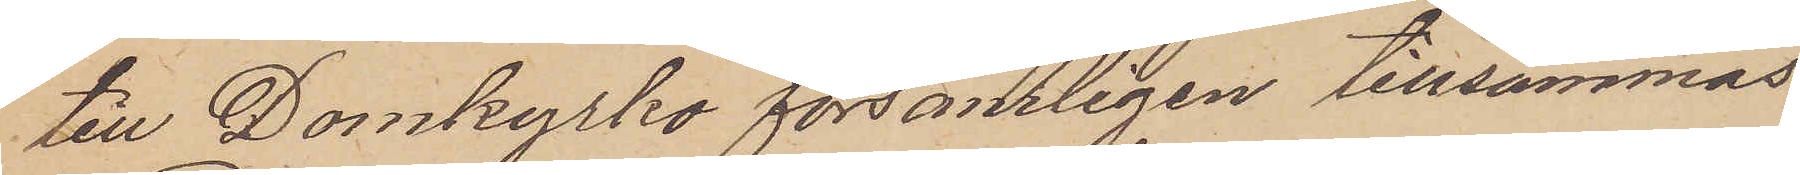till Domkyrko församligen tillsammas
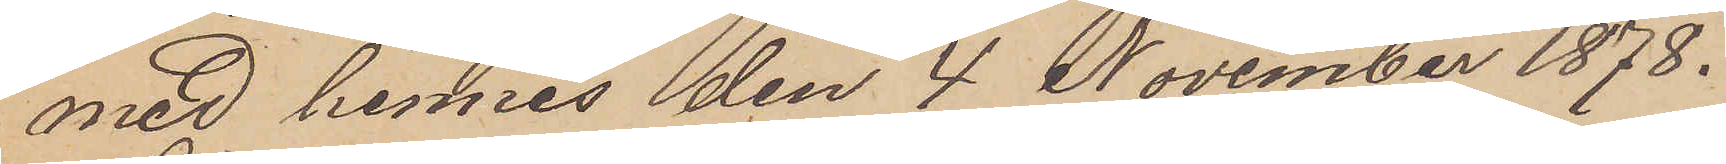med hennes den 4 November 1878.
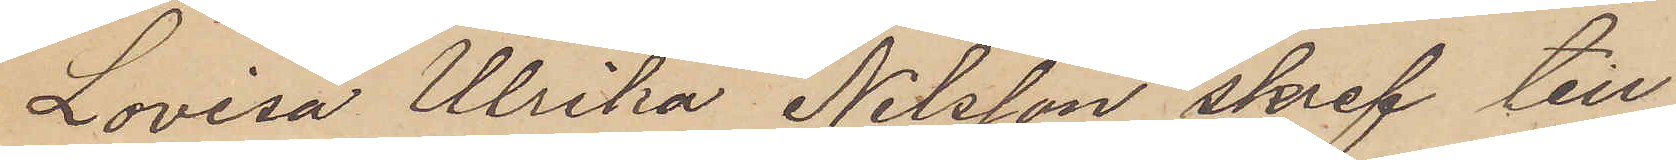Lovisa Ulrika Nilsson skref till
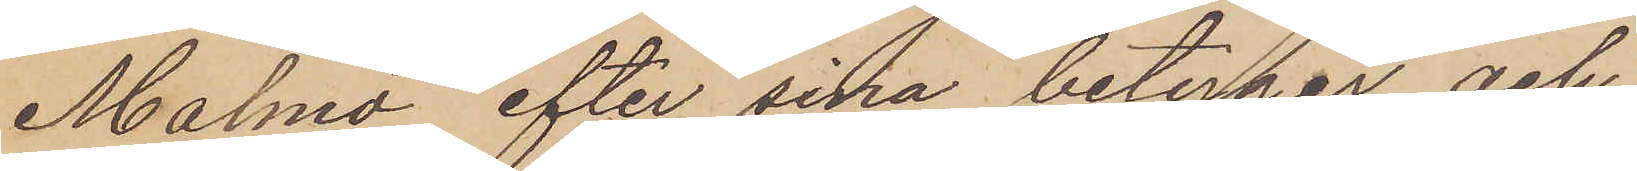Malmö efter sina betyger och
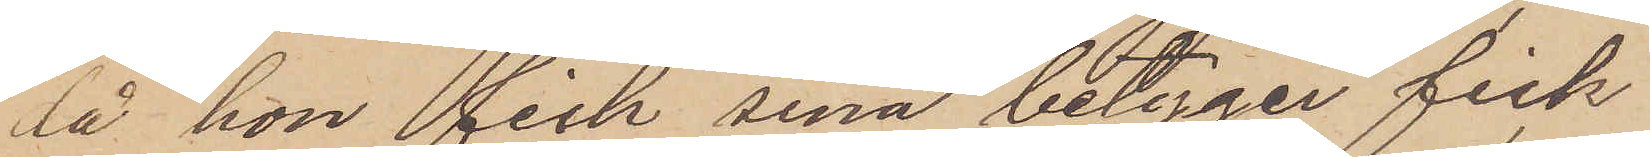då hon fick sina betyger fick
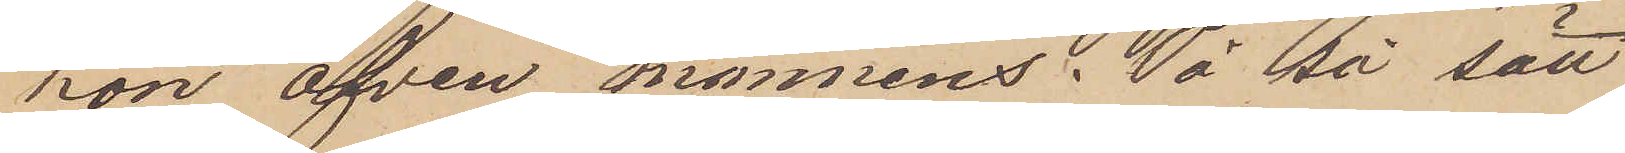hon äfven mannens. På på sätt
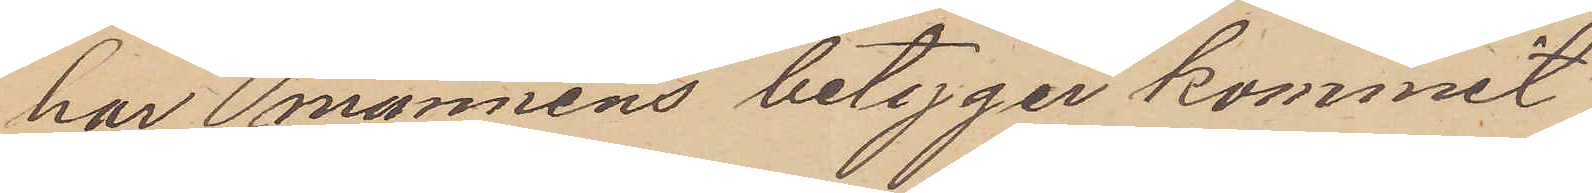har mannens betyger kommit
